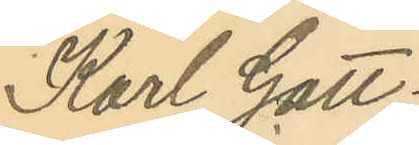Karl Gott¬
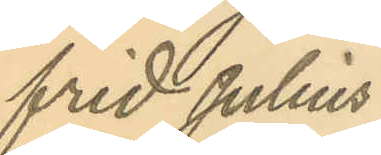frid Julius
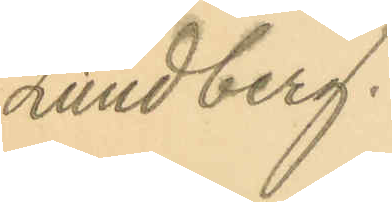Lundberg.
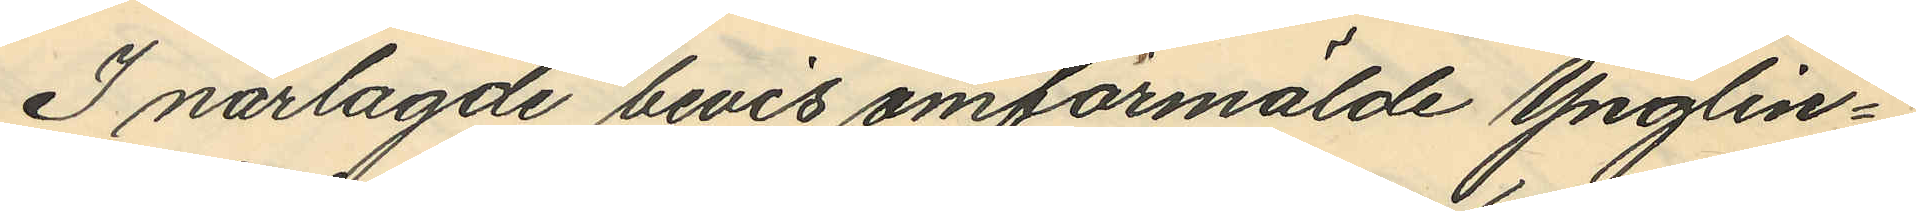I närlagde bevis omförmälde Ynglin¬
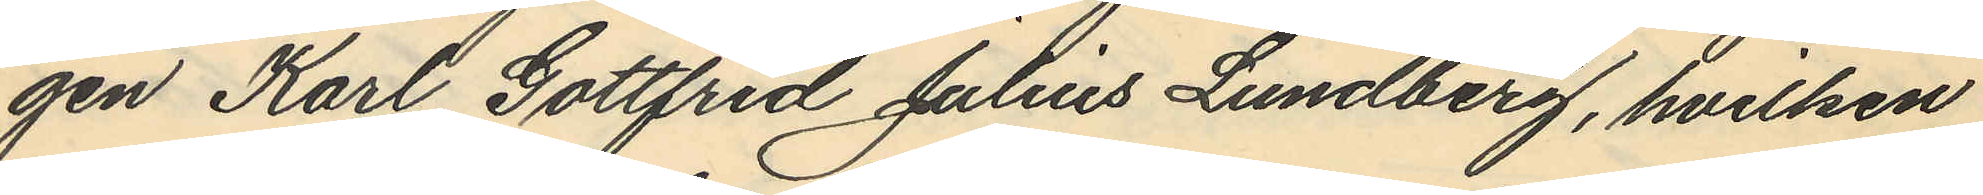gen Karl Gottfrid Julius Lundberg, hvilken
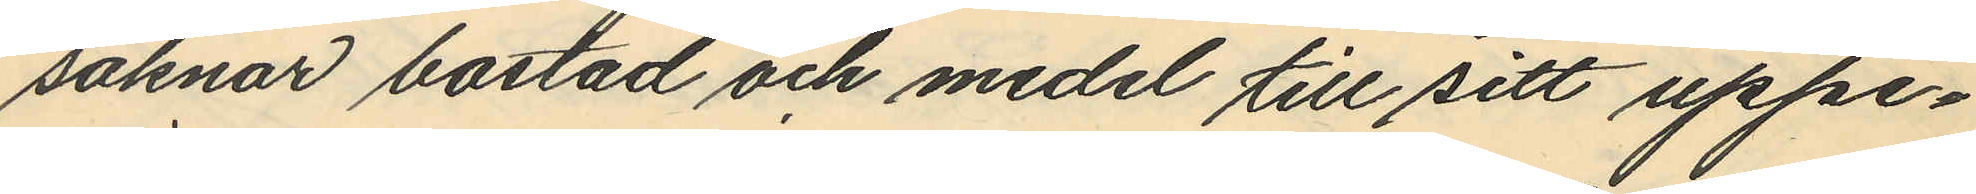saknar bostad och medel till sitt uppe¬
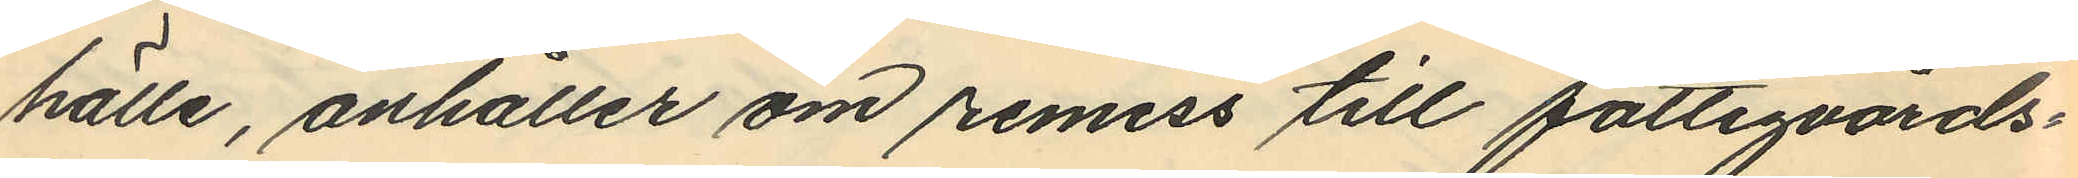hälle, anhåller om remiss till fattigvårds¬
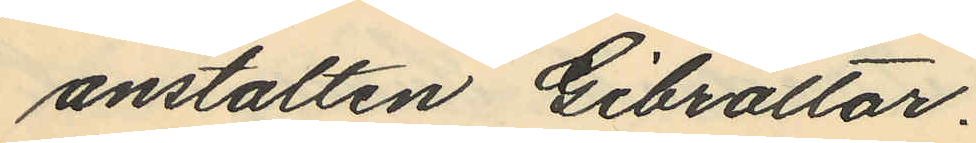anstalten Gibraltar.
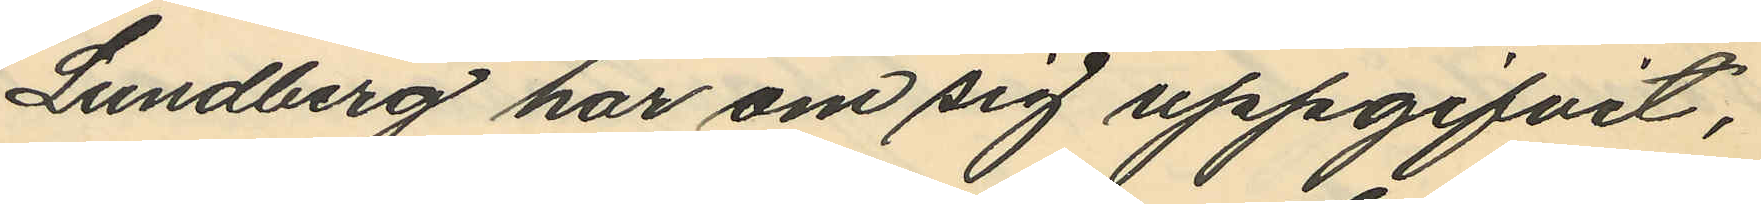Lundberg har om sig uppgifvit,
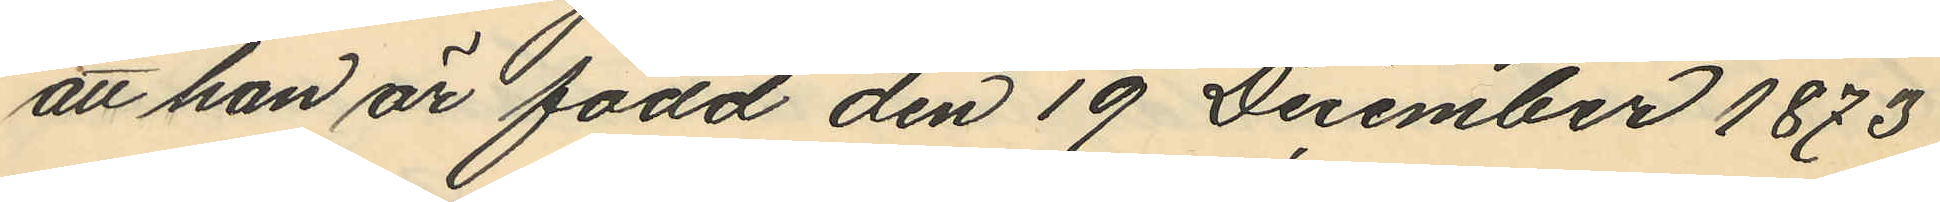att han är född den 19 December 1873
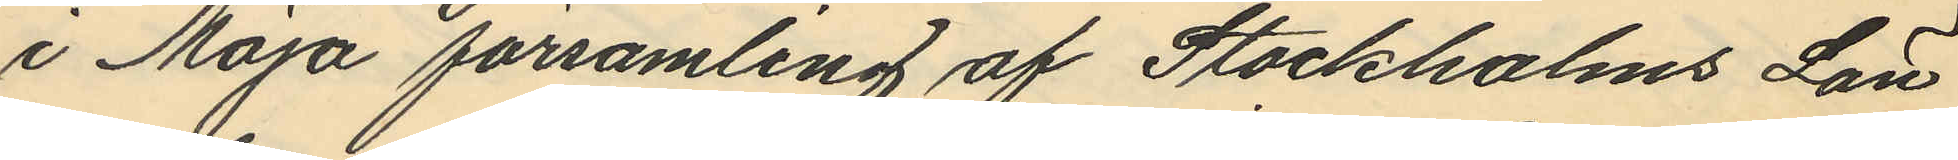i Möja församling af Stockholms Län
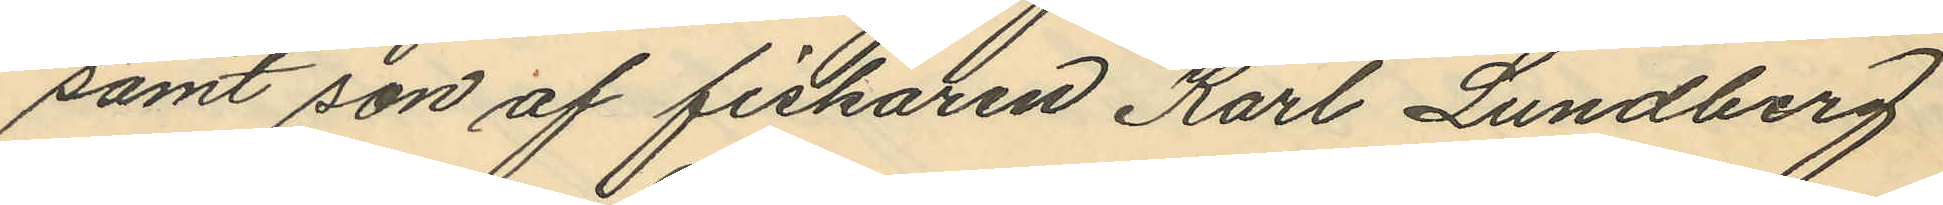samt son af fiskaren Karl Lundberg
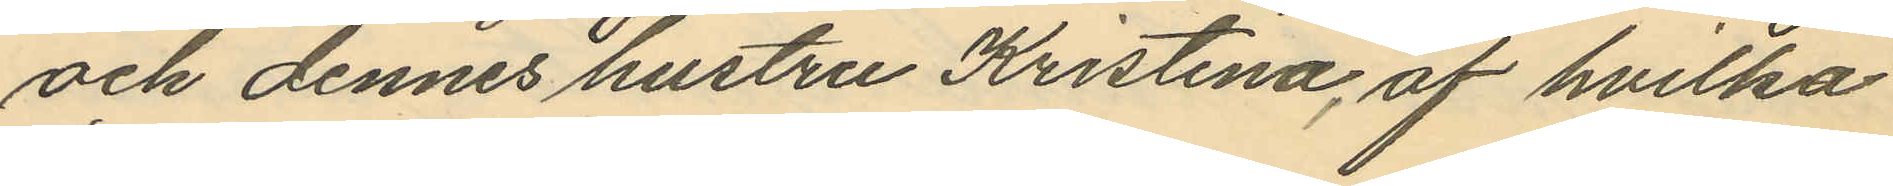och dennes hustru Kristina, af hvilka
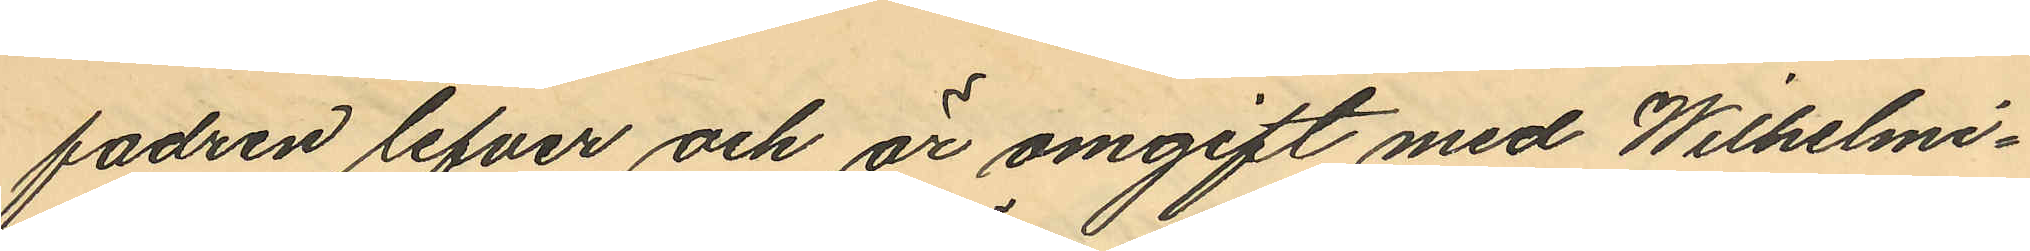fadren lefver och är omgift med Wilhelmi¬
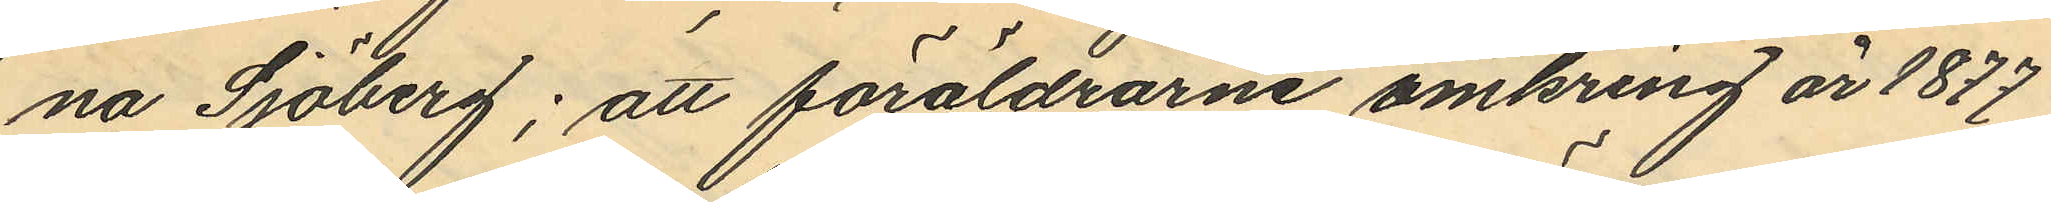na Sjöberg; att föräldrarne omkring år 1877
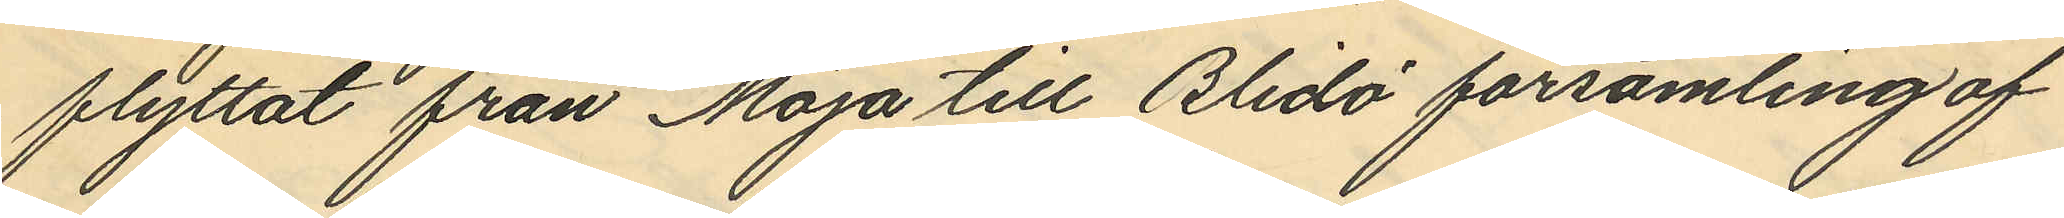flyttat från Möja till Blidö församling af
